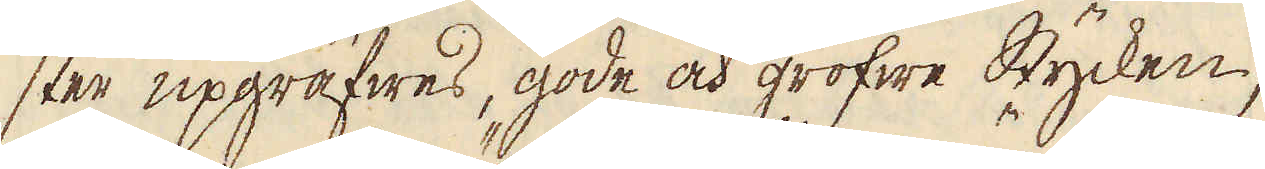ster uppräfwes, gode och grofwe stycken,
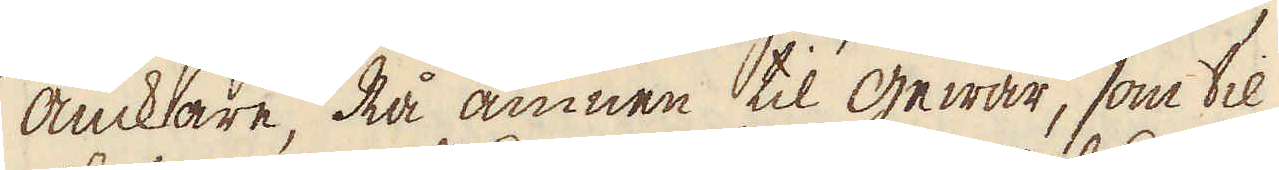anckare, Rå ämnen til gewär, som til
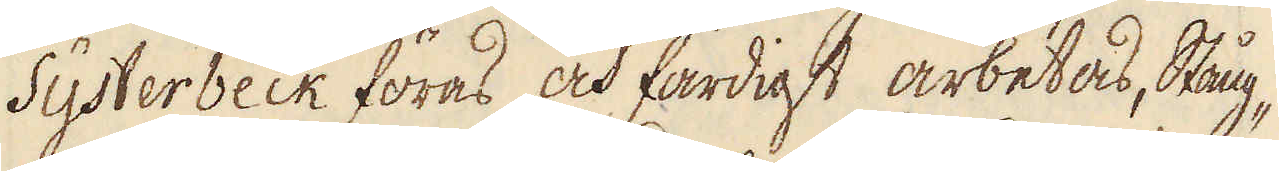Systerbeck föras och färdigt arbetas, Stång-
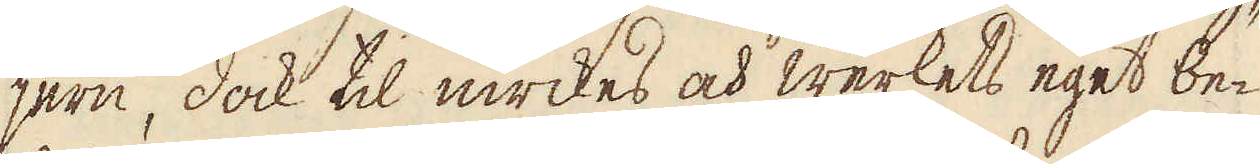jern, dock til inrikes och werkets eget be-
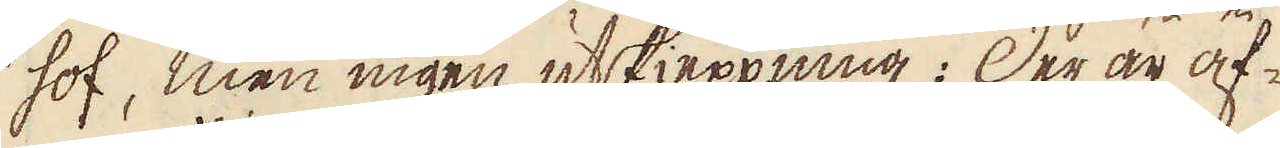hof, men ingen utskieppning: Der är äf-
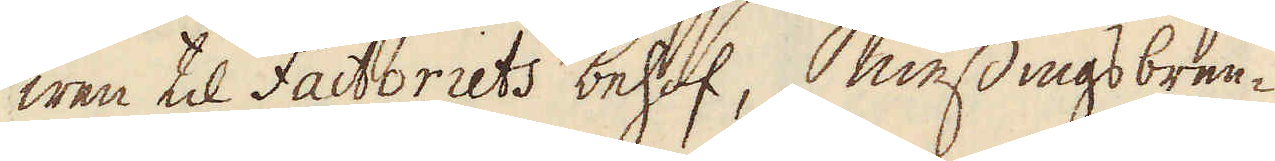wen til Factoriets behof, messingsbren-
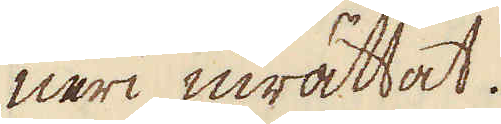neri inrättat.
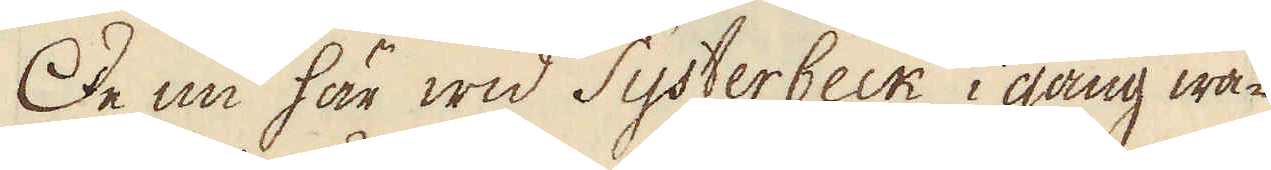De nu här wid Systerbeck i gång wa-
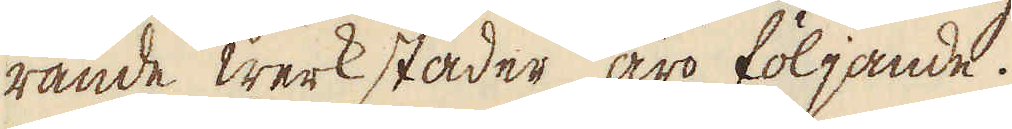rande werkstäder äro följande.
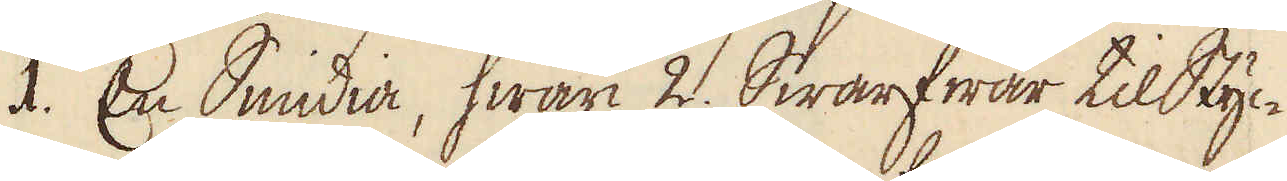I. En Smidia, hwari 2. Swarfwar til Styc-
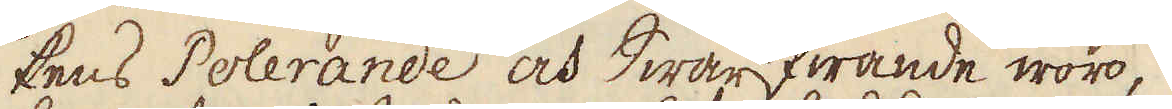kens Polerande och Swarfwande woro,
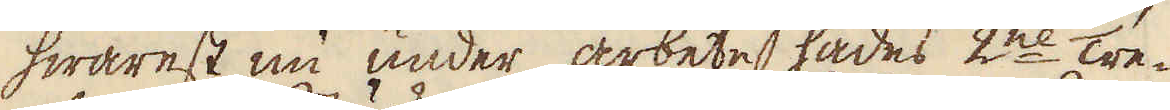hwarest nu under arbete hades 2ne tre-
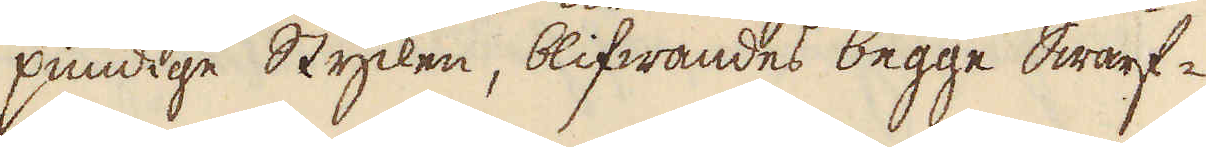pundige Stycken, blifwandes begge Swarf-
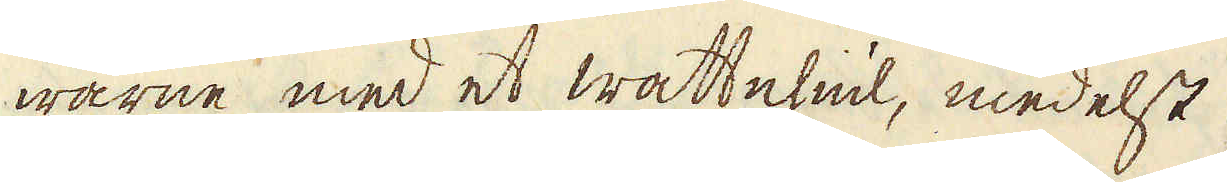warne med et wattehiul, medelst
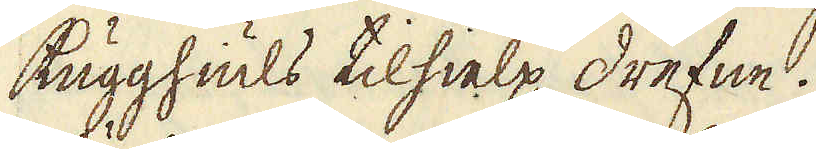Kugghiuls tilhielp drefne.
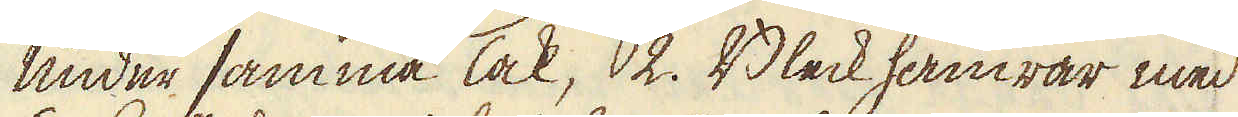Under samma Tak, 2. Bleck hamrar med
